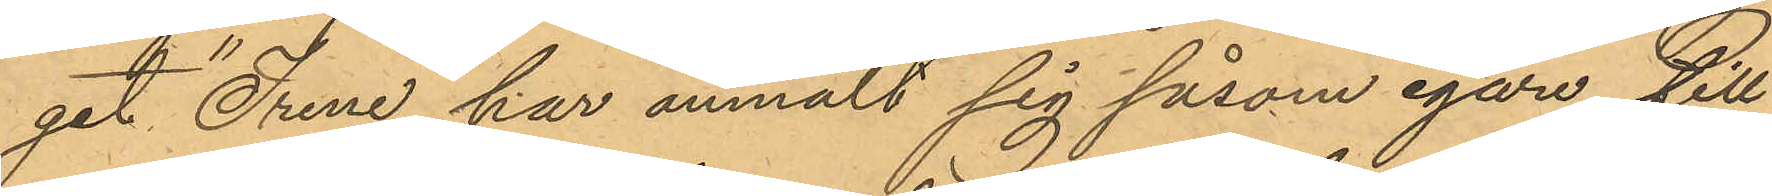get "Irene" har anmält sig såsom egare till
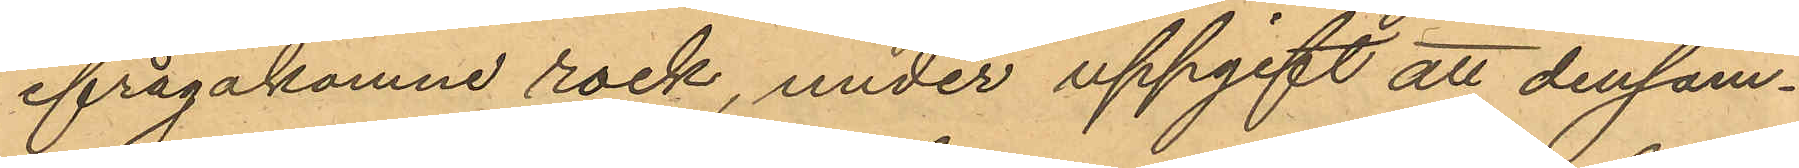ifrågakomne rock, under uppgift att densam¬
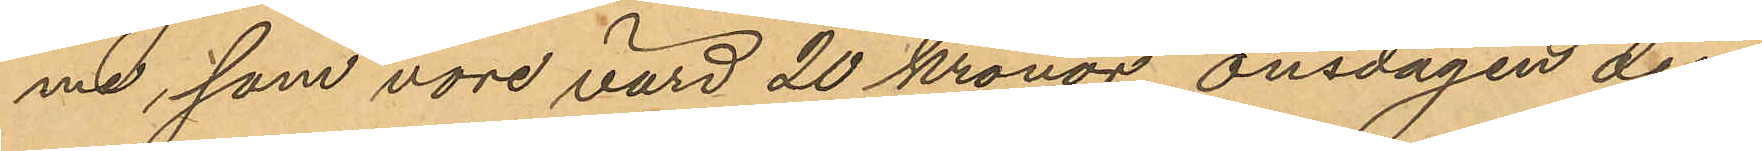me, som vore värd 20 kronor, onsdagen den
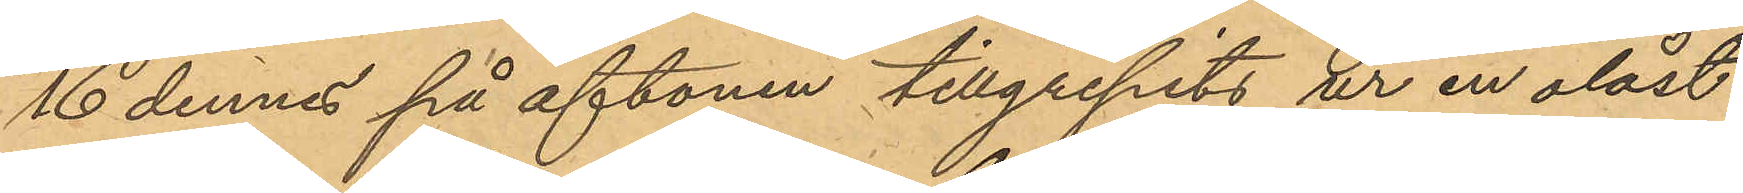16 dennes på aftonen tillgripits ur en olåst
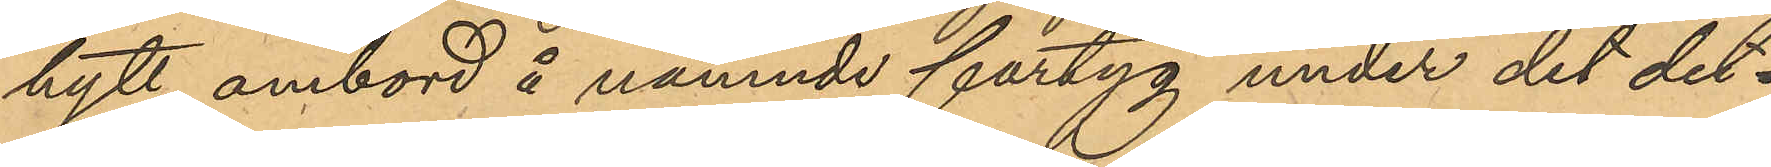hytt ombord å nämnde fartyg under det det¬
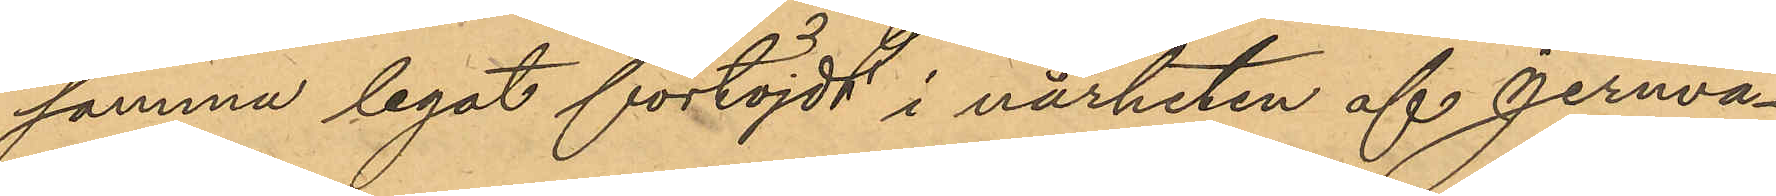samma legat förtöjdt i närheten af Jernvå¬
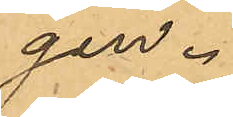gen.
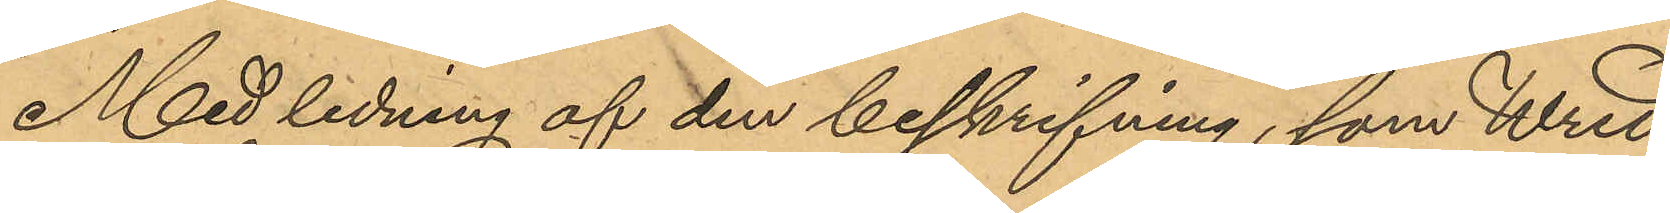Med ledning af den beskrifning, som Wred
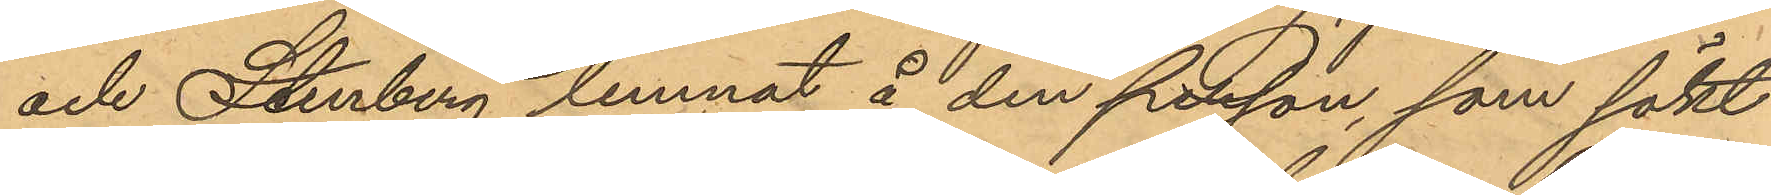och Stenberg lemnat å den person, som sökt
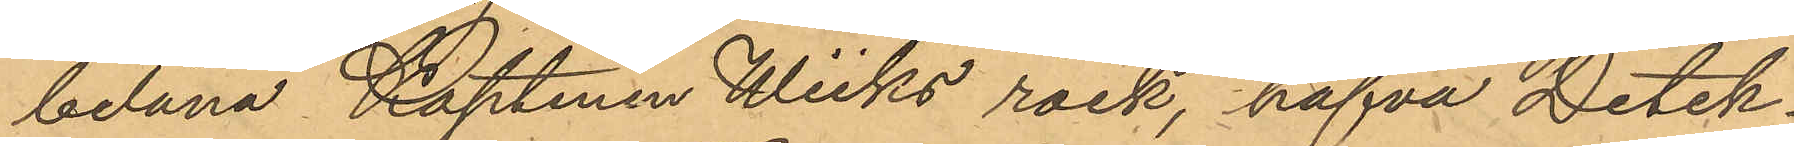belåna Kaptenen Wiiks rock, hafva Detek¬
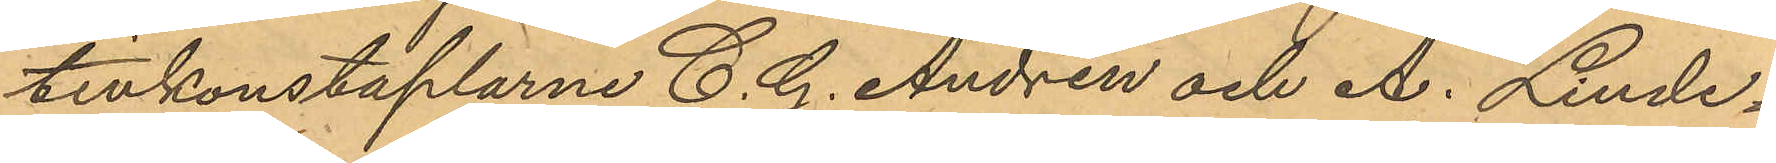tivkonstaplarne C. G. Andrén och A. Linde¬
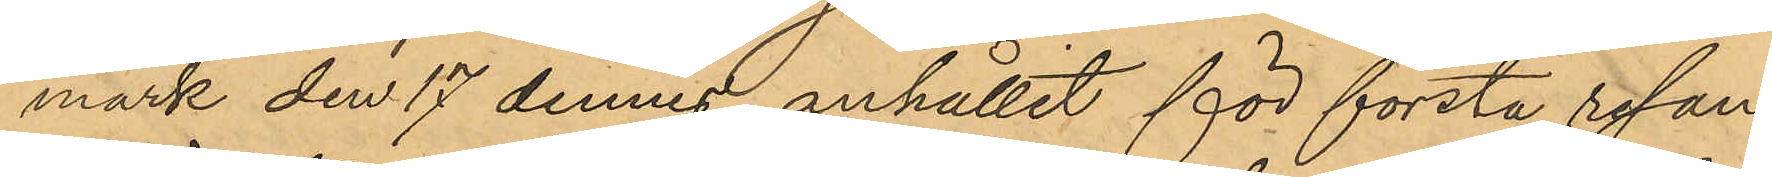mark den 17 dennes anhållit för första resan
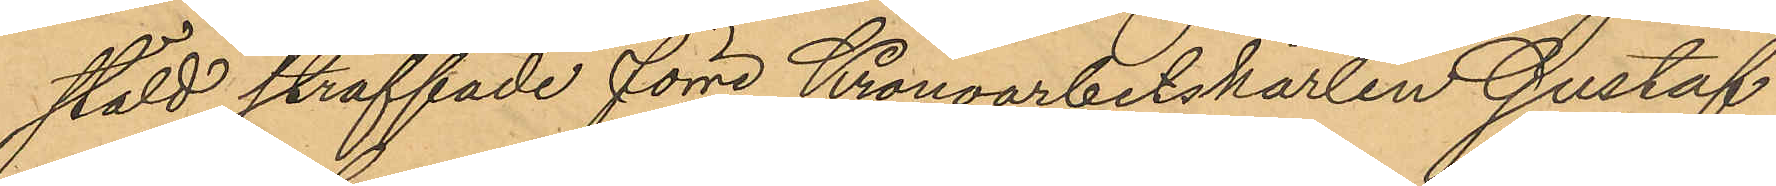stöld straffade förre Kronoarbetskarlen Gustaf
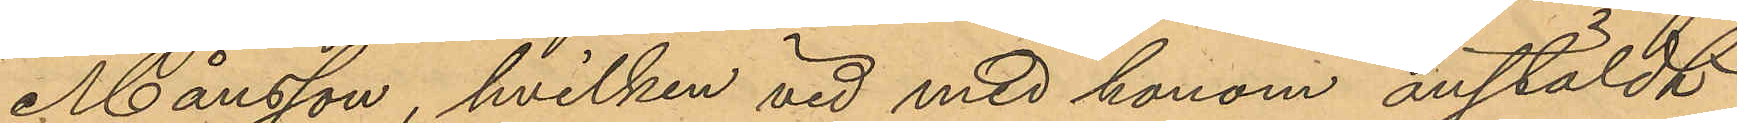Månsson, hvilken vid med honom anstäldt
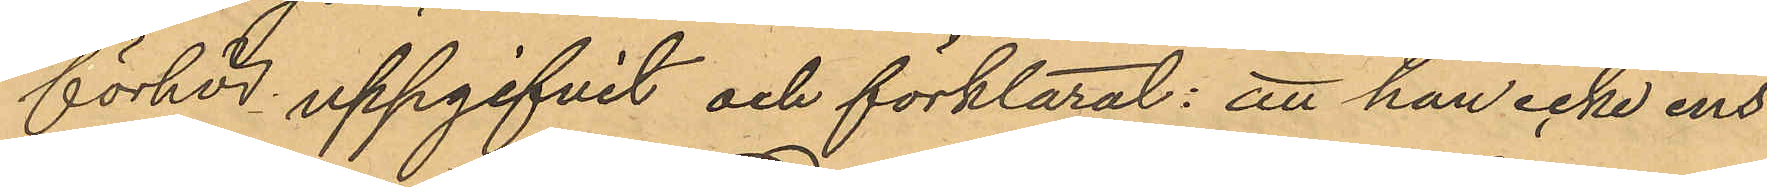förhör uppgifvit och förklarat: att han icke ens
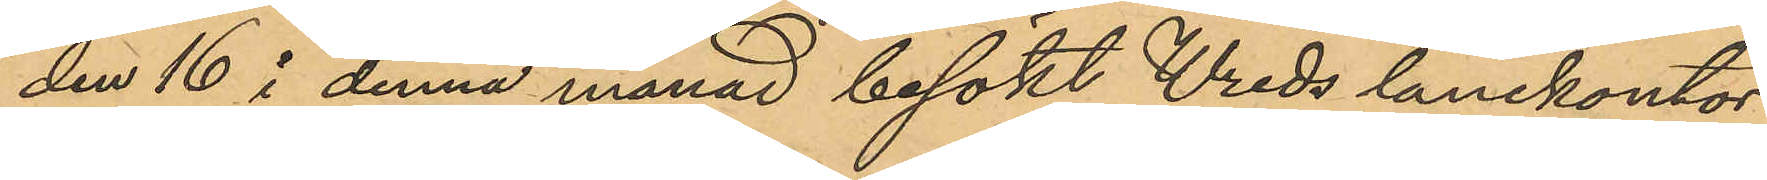den 16 i denna månad besökt Wreds lånekontor
